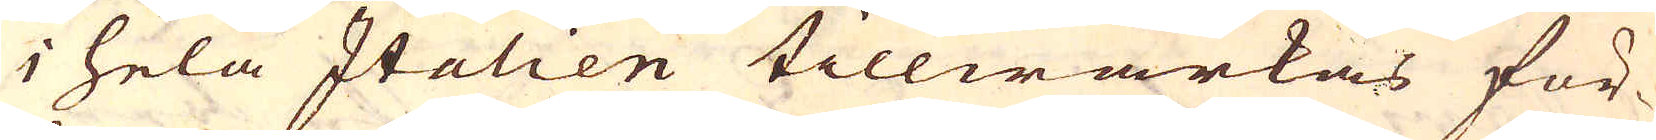i hela Italien tillwärkas för-
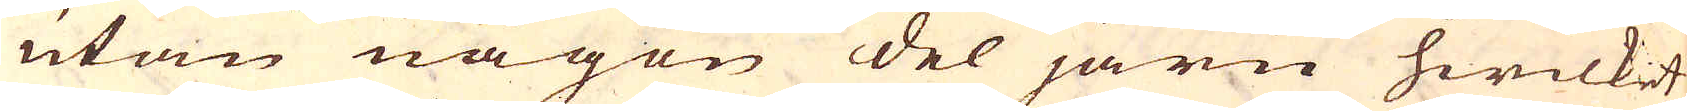utan någon del järn hwilket
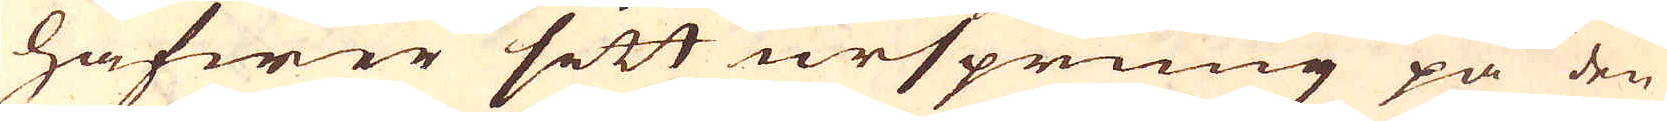hafwer sitt ursprung på den
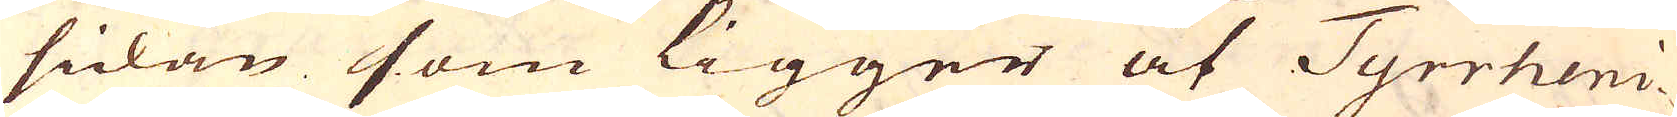sidan som ligger åt Tyrrheni-
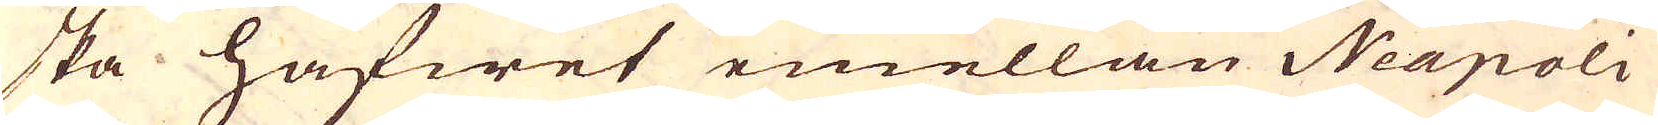ska hafwet emellan Neapoli
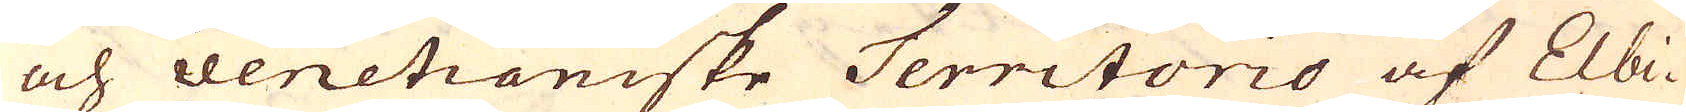och venetianiske Territorio af Elbi-
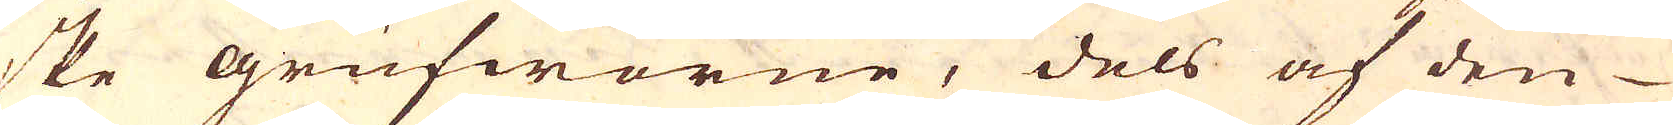ske grufworne, dels af den
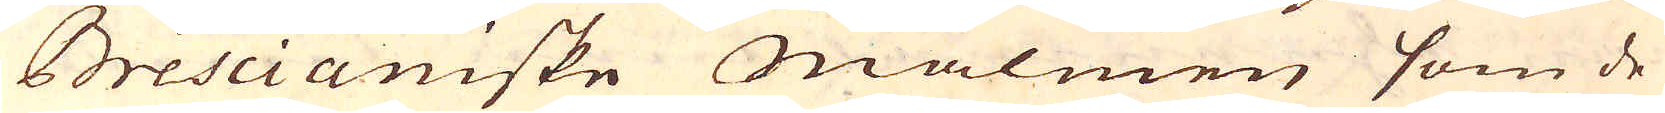Brescianiske Malmen som de
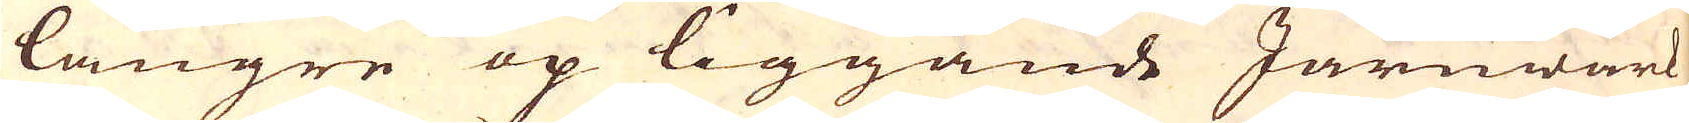längre op liggande Järnwärk
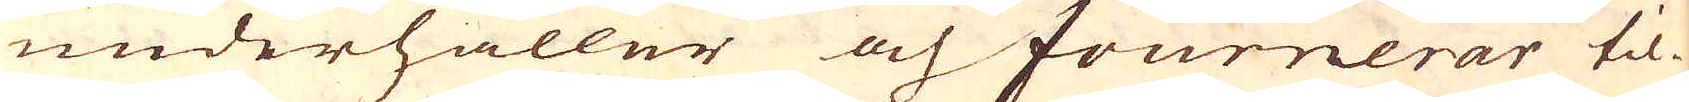underhåller och fournerar til-
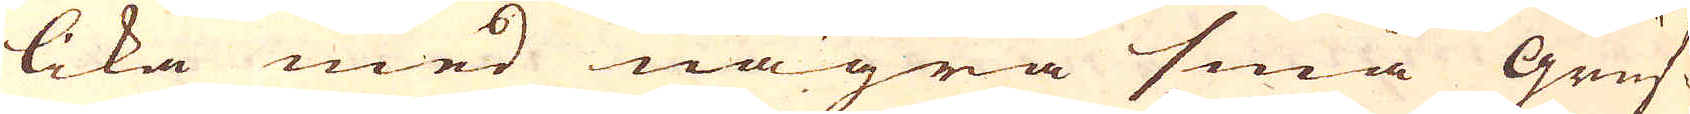lika med några små Gruf-
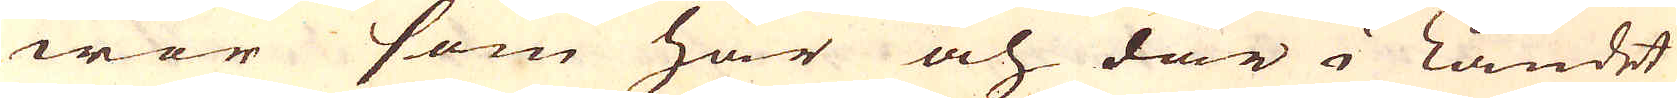wor som här och där i landet
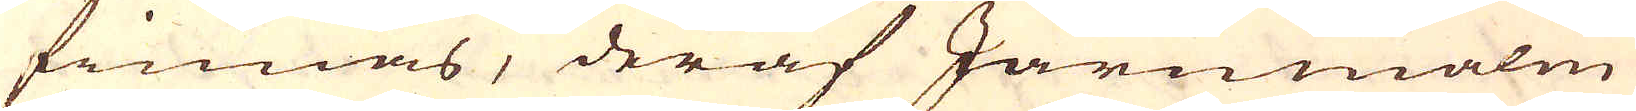finnas, deraf Järnmalm
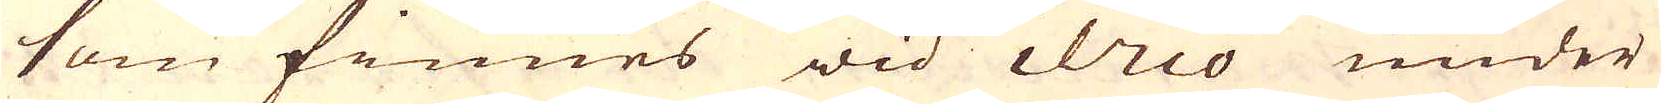som finnes wid ilico under
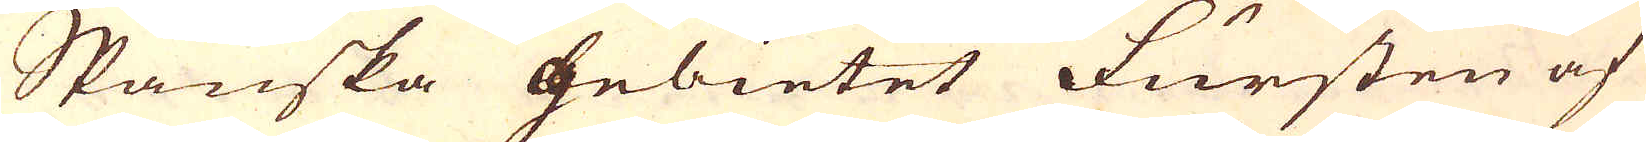Spanska gebietet Fursten af
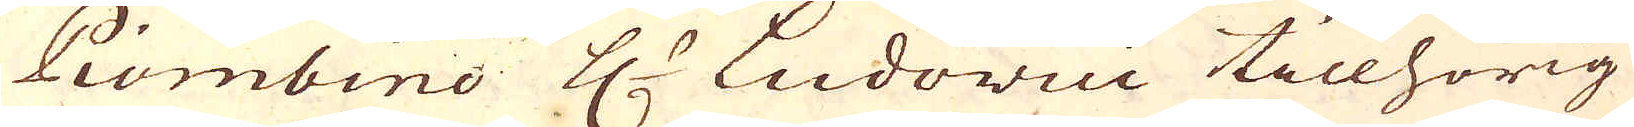Piombino H:r Ludovici tillhörig
